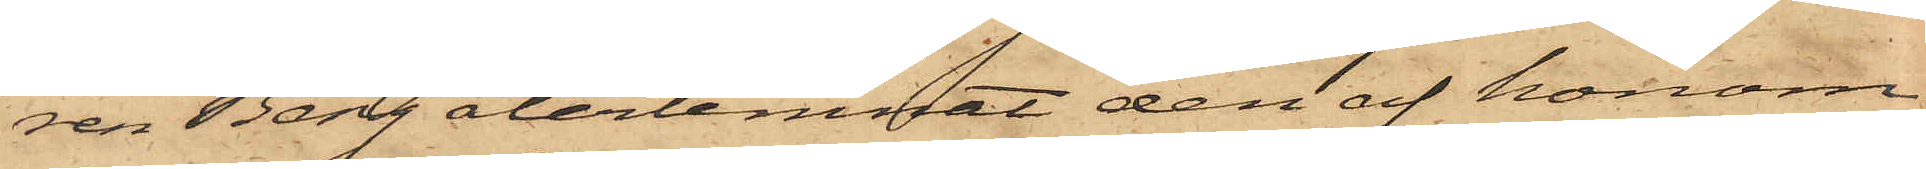ren Berg återlemnat den af honom
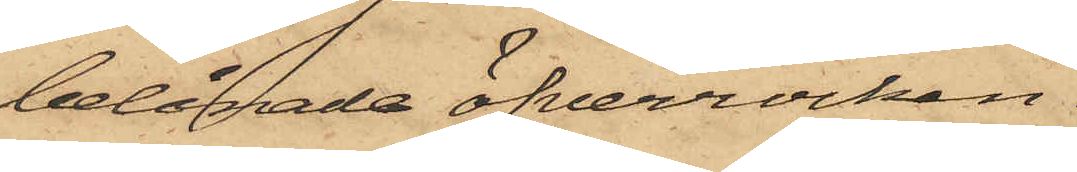belånade öfverrocken.
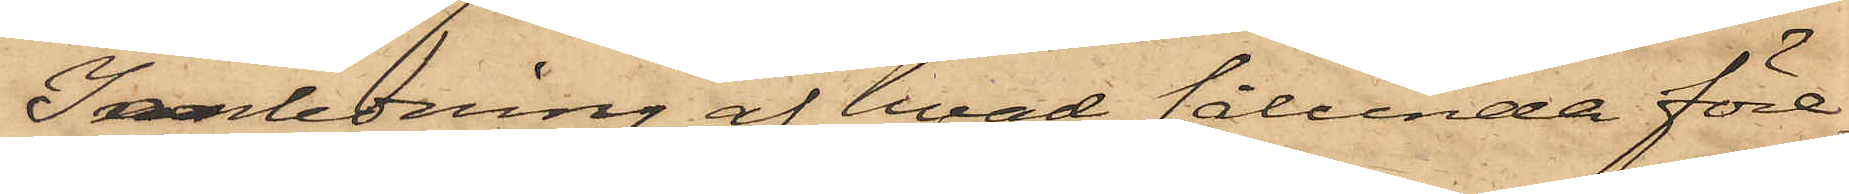I anledning af hvad sålunda före¬
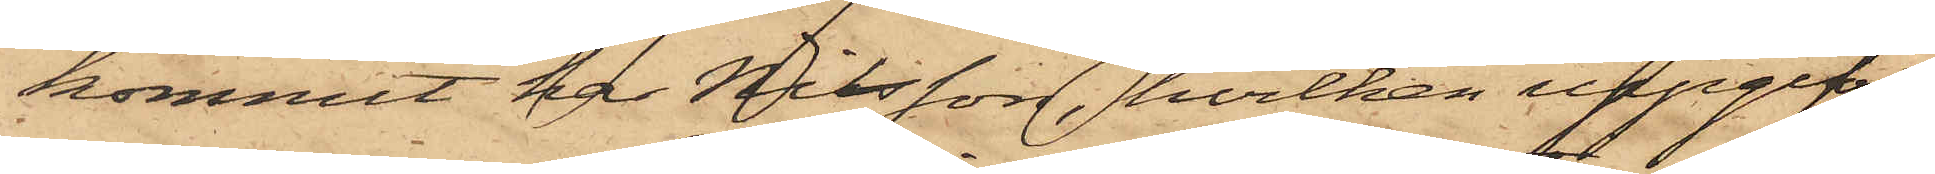kommit har Nilsson, hvilken uppgifvit
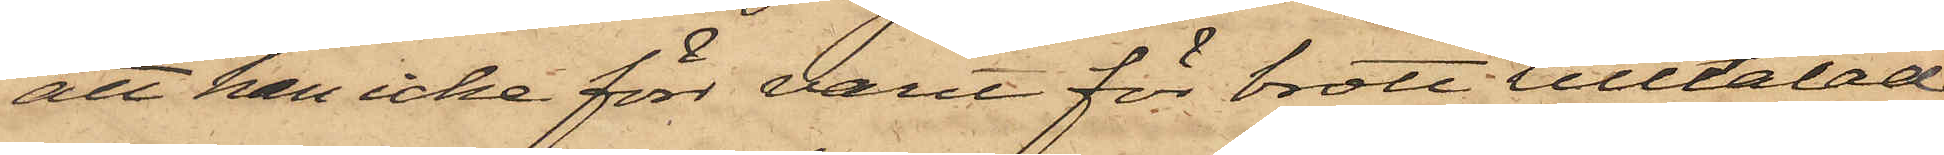att han icke förr varit för brott tilltalad
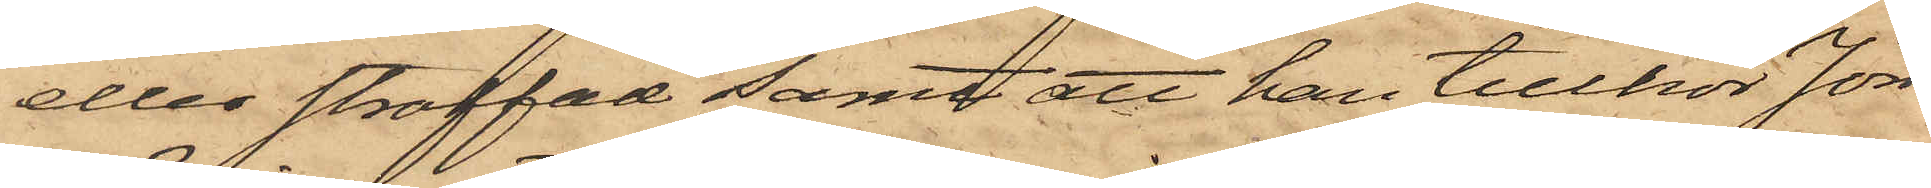eller straffad samt att han tillhör Jön¬
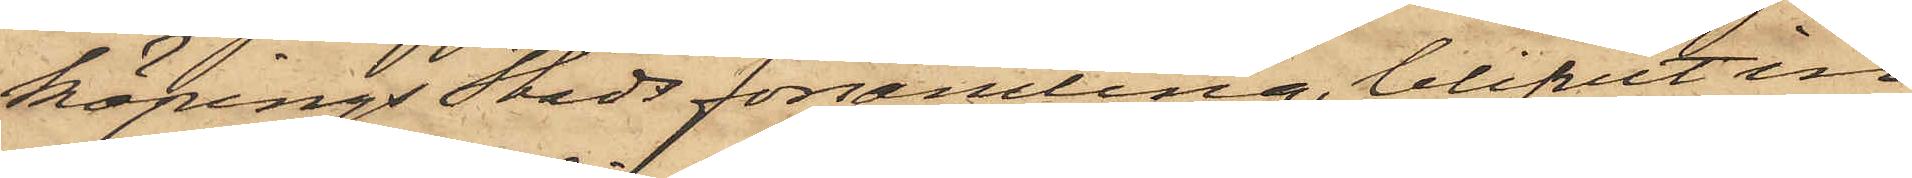köpings Stads församling, blifvit in¬
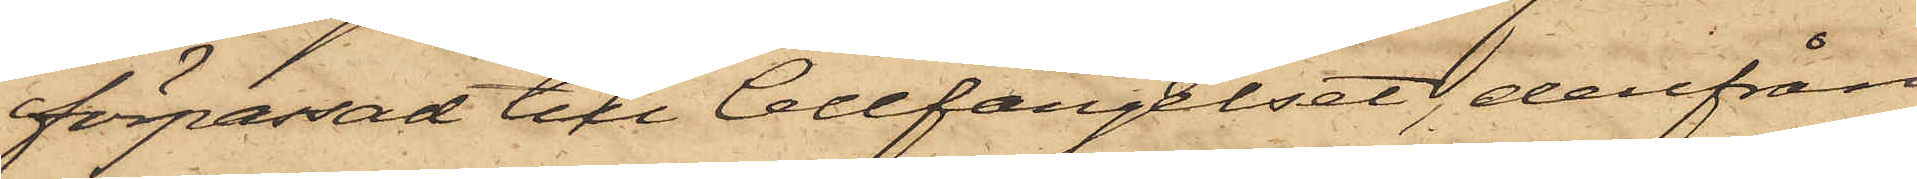förpassad till Cellfängelset, derifrån
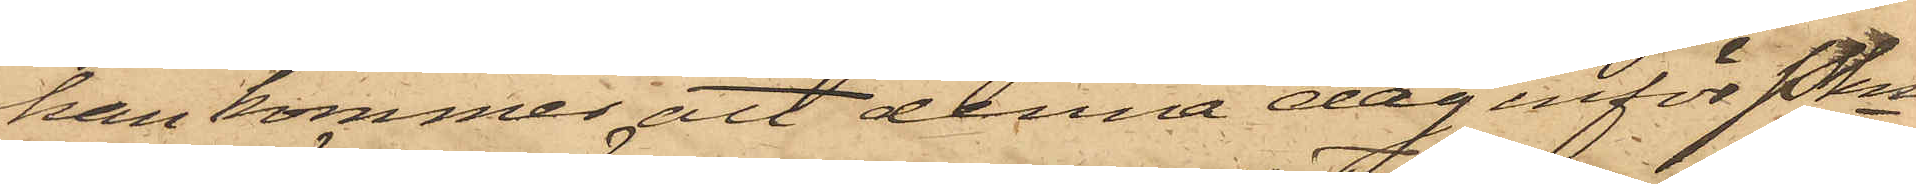han kommer att denna dag inför Pkn
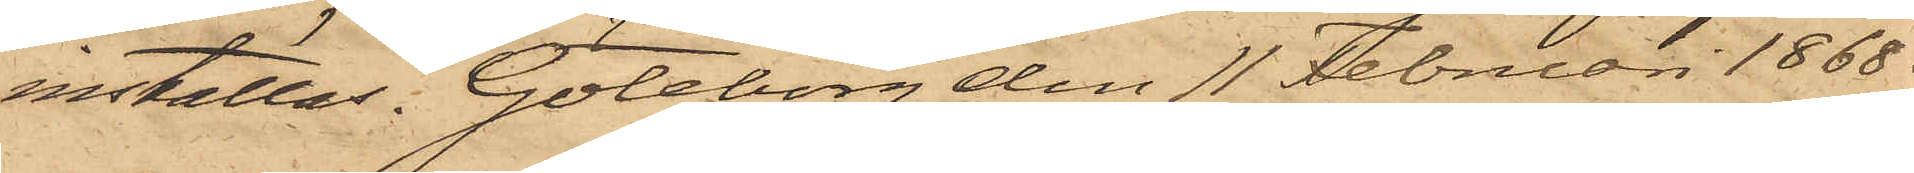inställas. Göteborg den 11 Februari 1868.
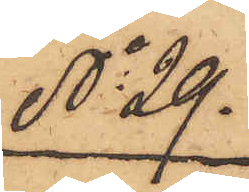No 29.
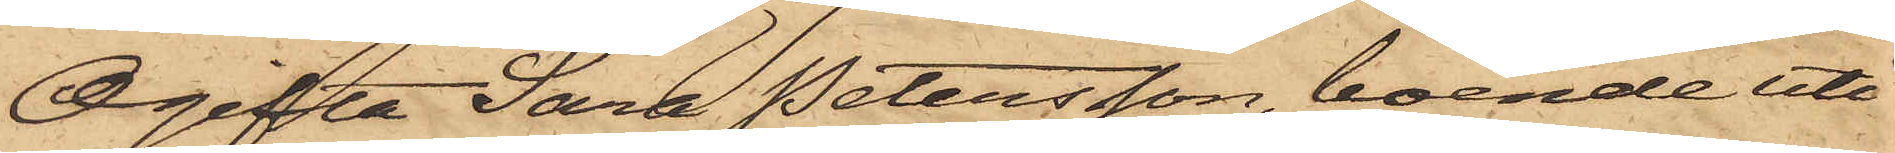Ogifta Sara Petersson, boende uti
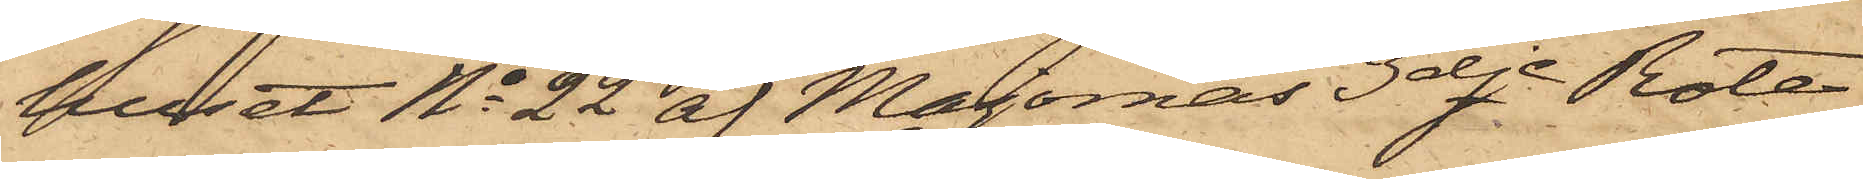huset No 22 af Majornas 3dje Rote
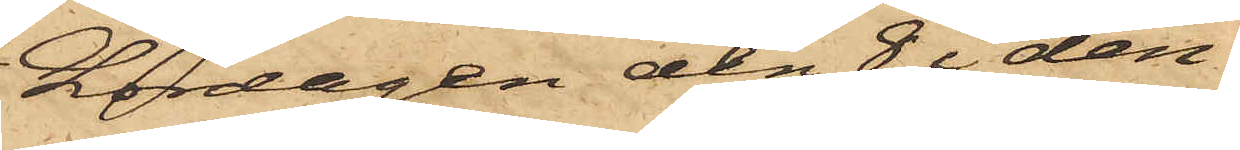Lördagen den 8 i den¬
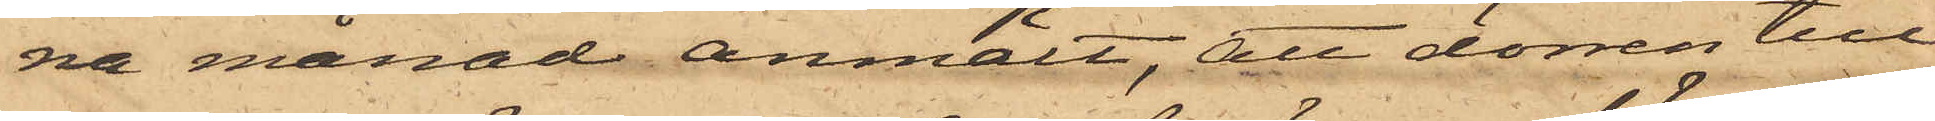na månad anmält, att dörren till
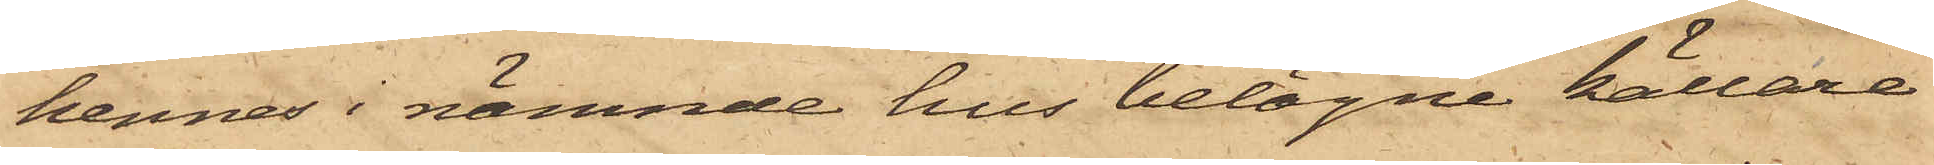hennes i nämnde hus belägne källare
